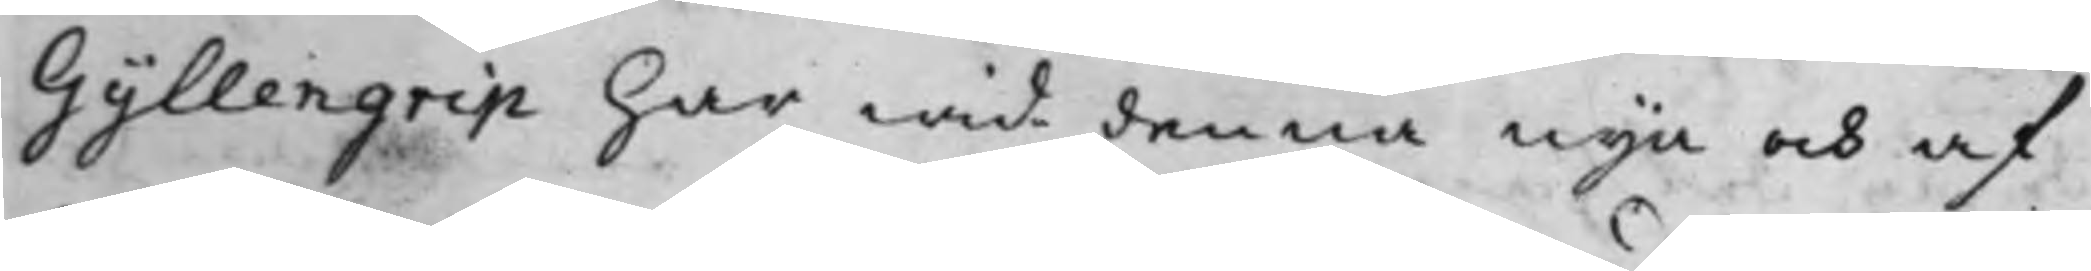Gyllengrip har wid denna nya och af
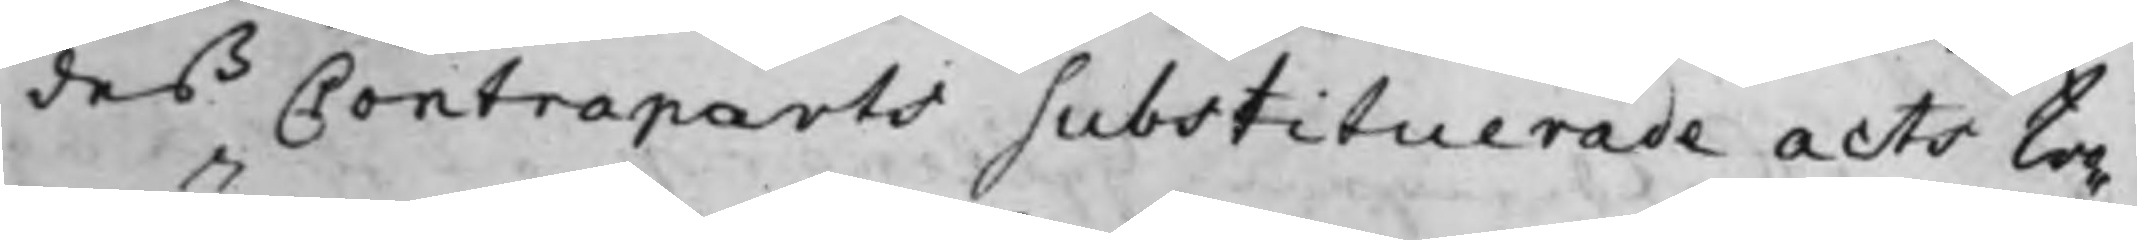des Contraparts substituerade acts tro¬
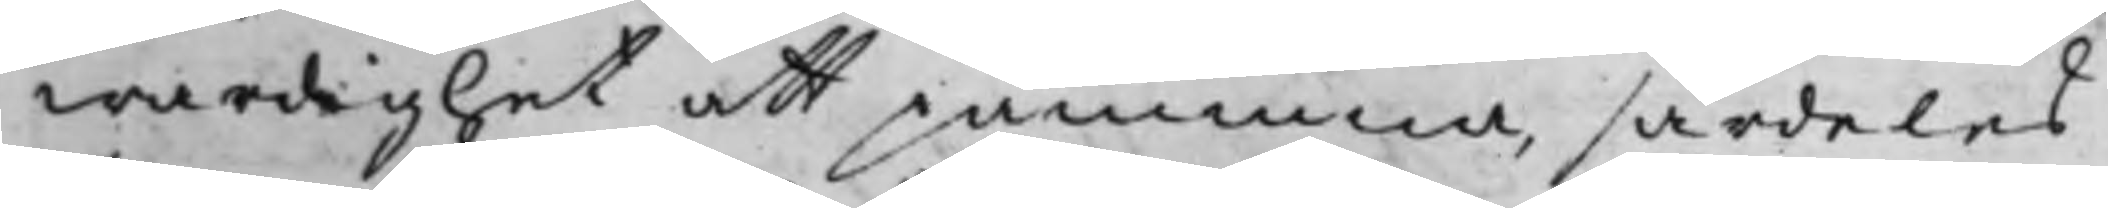wärdighet att påminna, särdeles
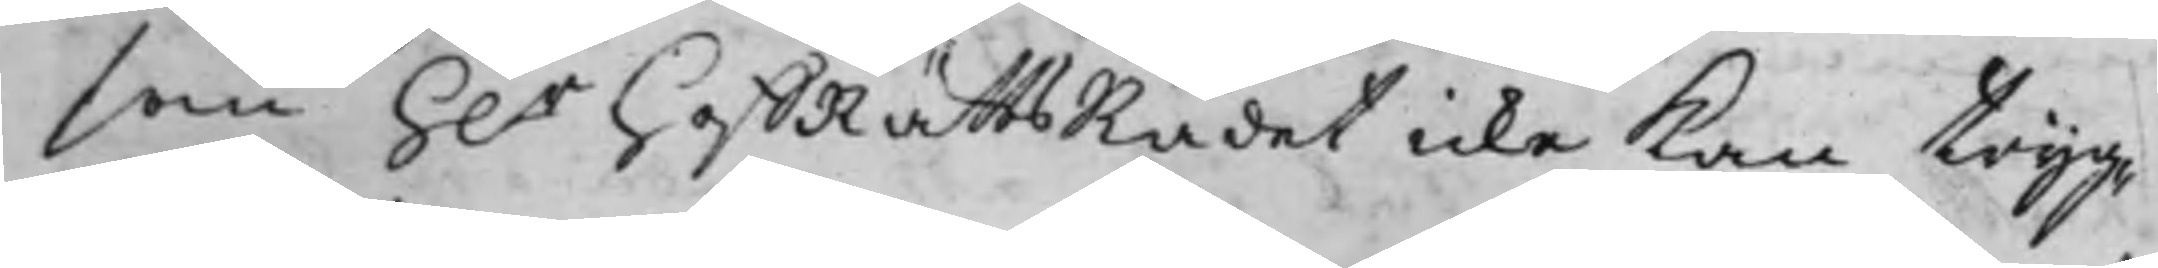som h.r hoffRättsRådet icke Kan tryg¬
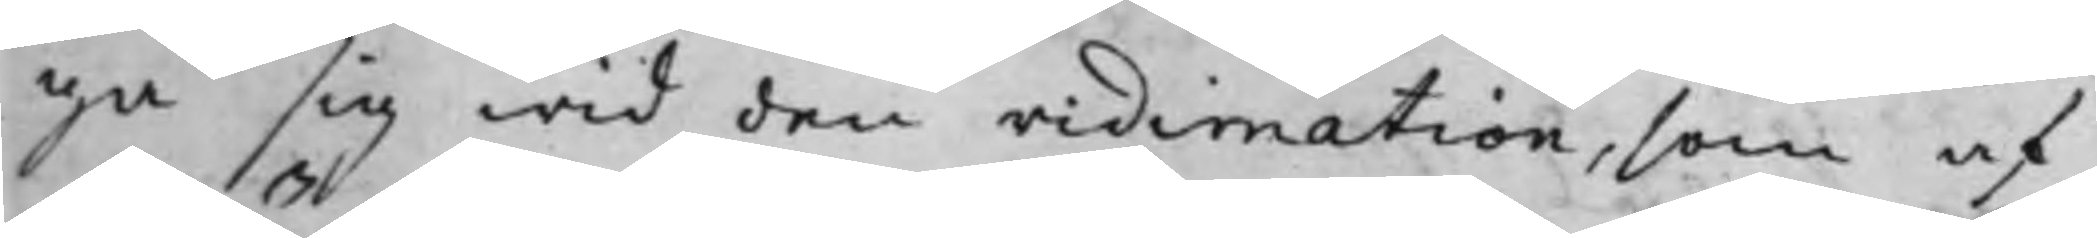ga sig wid den vidimation, som af
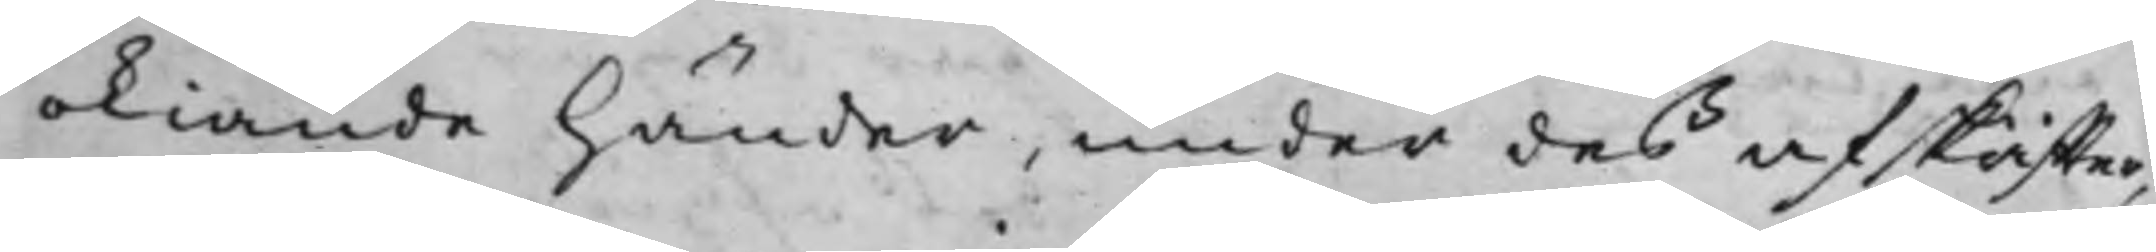okiände händer, under des afskriffter,
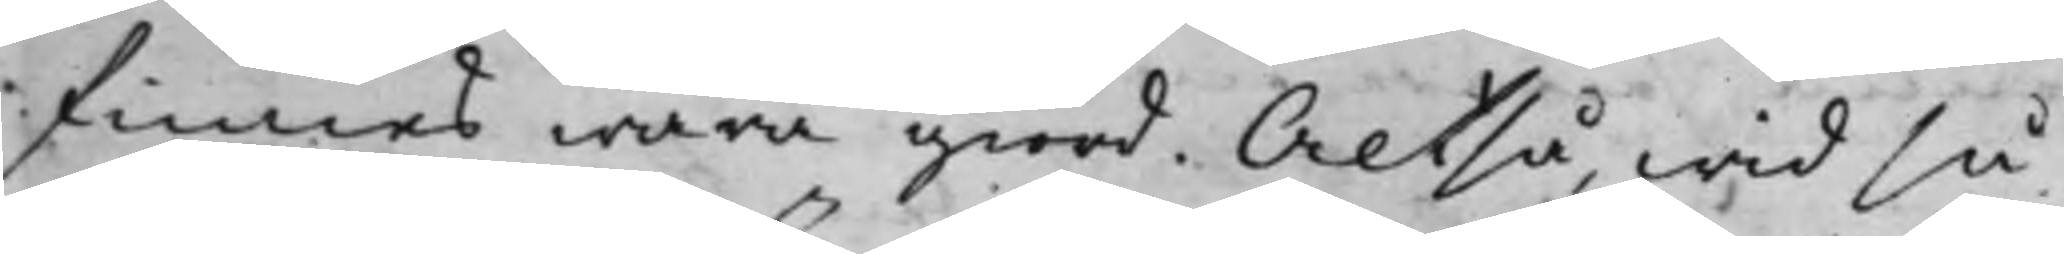finnes wara giord. Altså, wid så
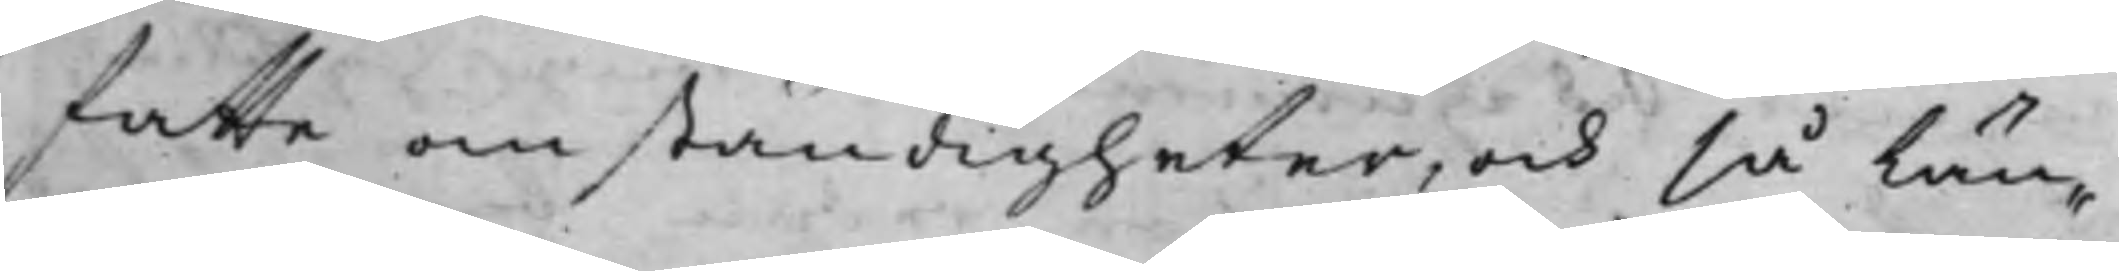fatte omständigheter, och så län¬
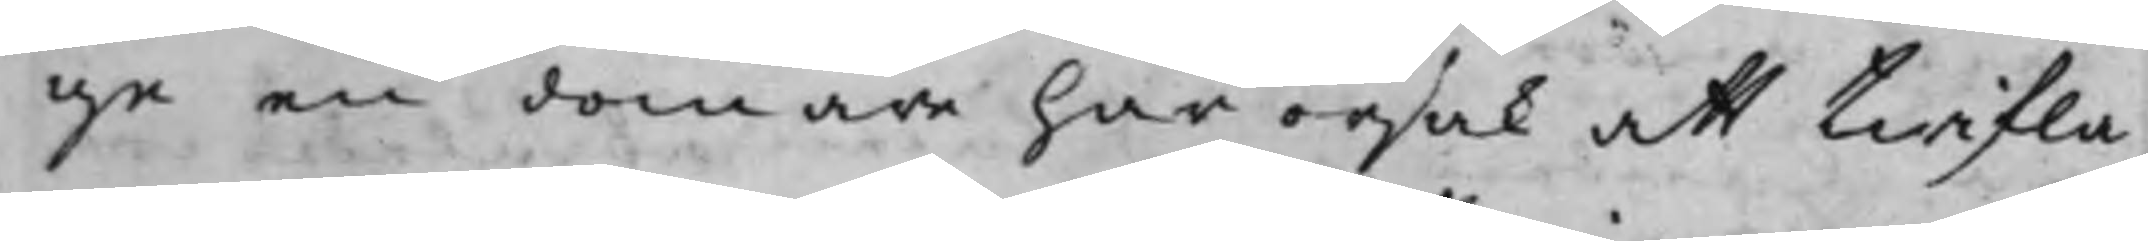ge en domare har orsak att twifla
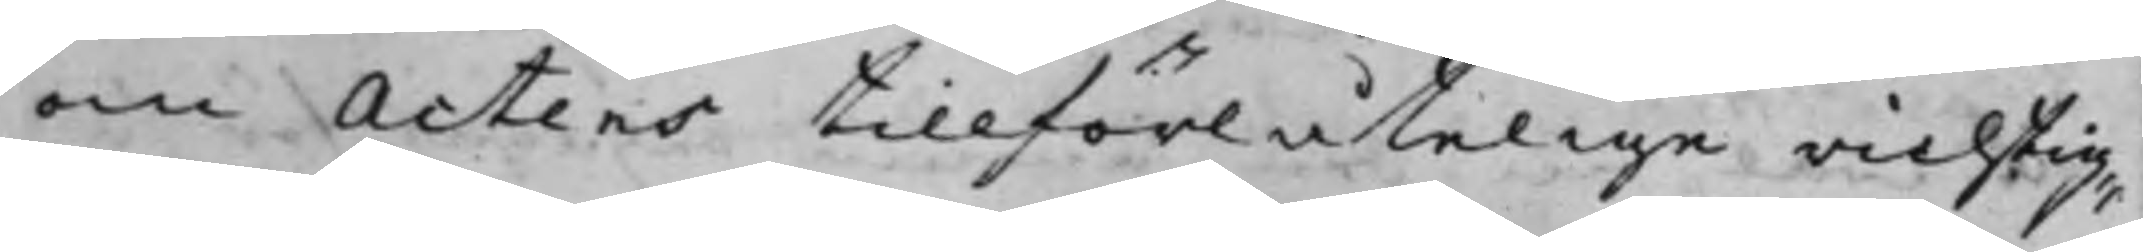om Actens tillförlåtelige richtig¬
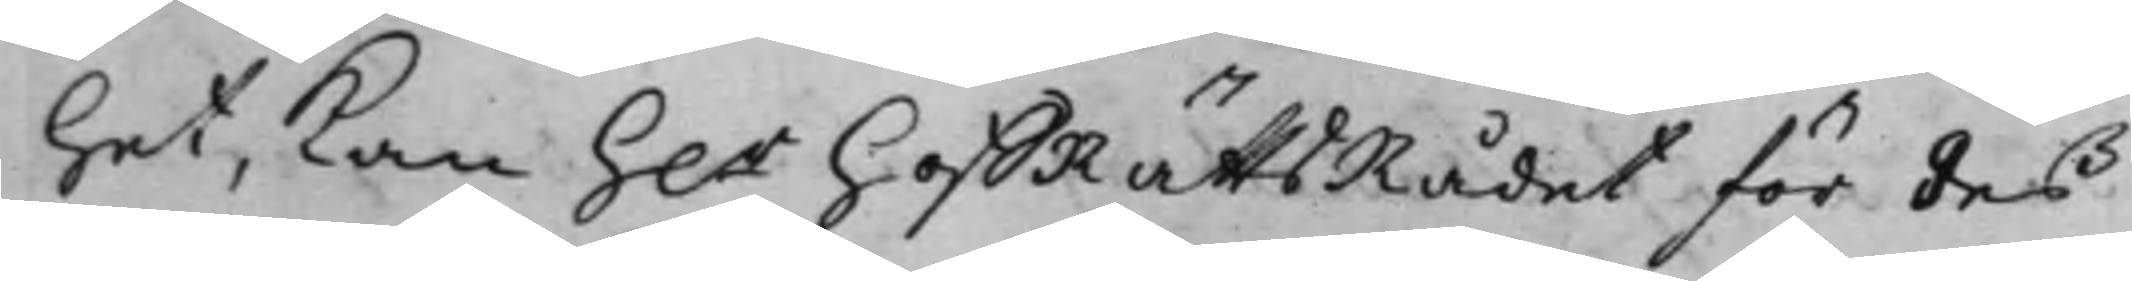Het, kan h.r hoffRättsRådet för des
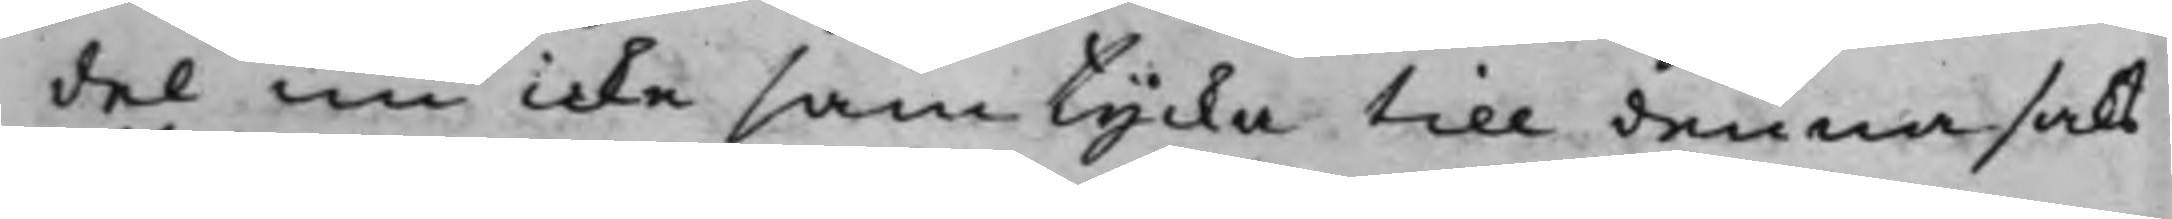del nu icke samtycka till denna saks
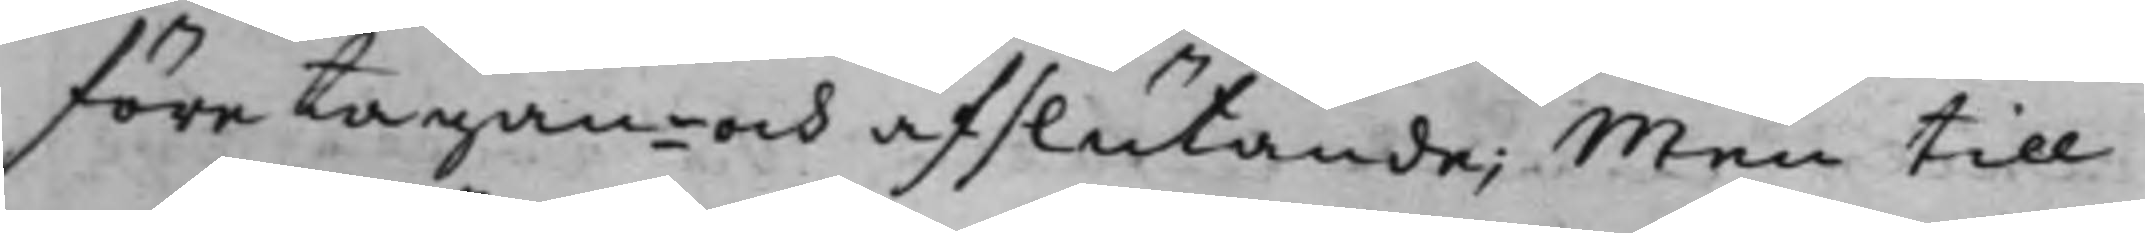företagan¬ och afslutande; Men till
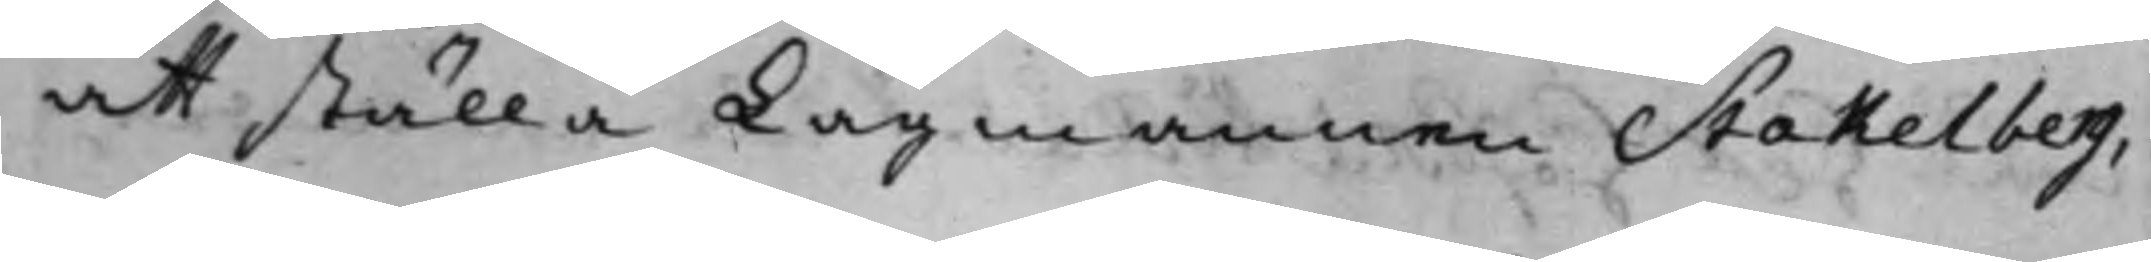att ställa Lagmannen Stakelberg,
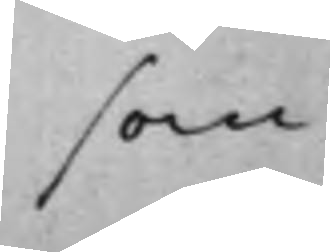som
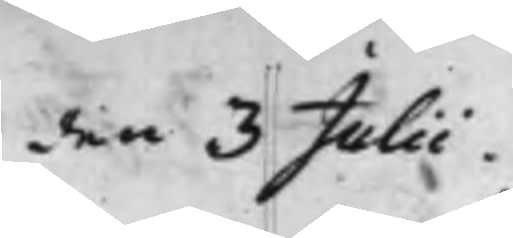den 3 Julii.
